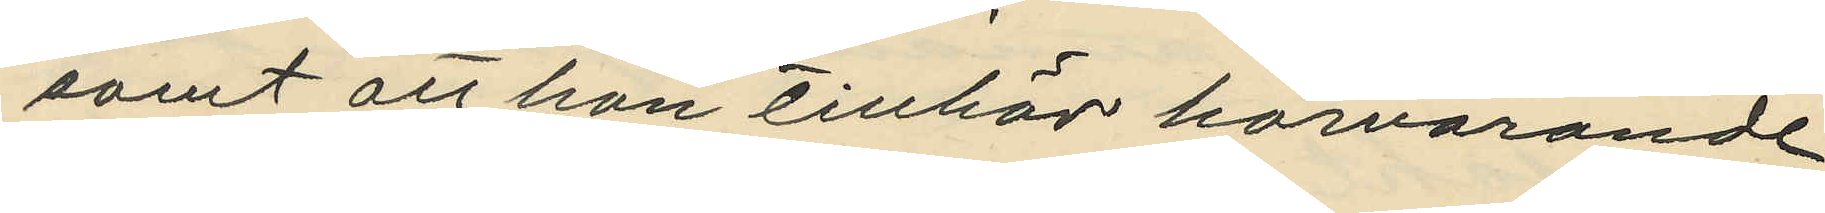samt att hon tillhör härvarande
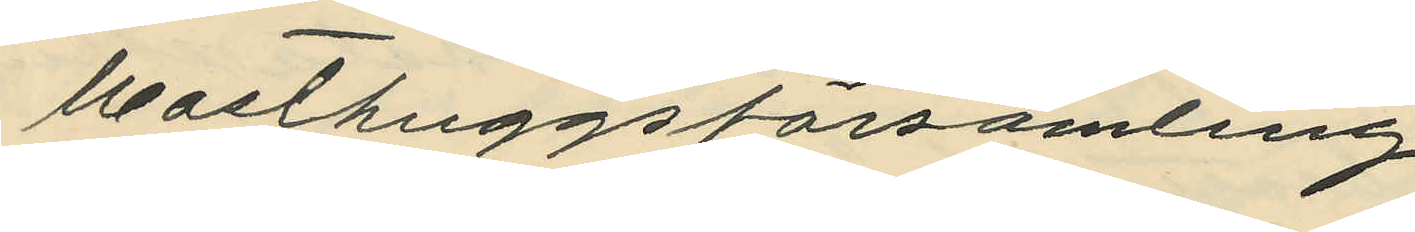Masthuggsförsamling.
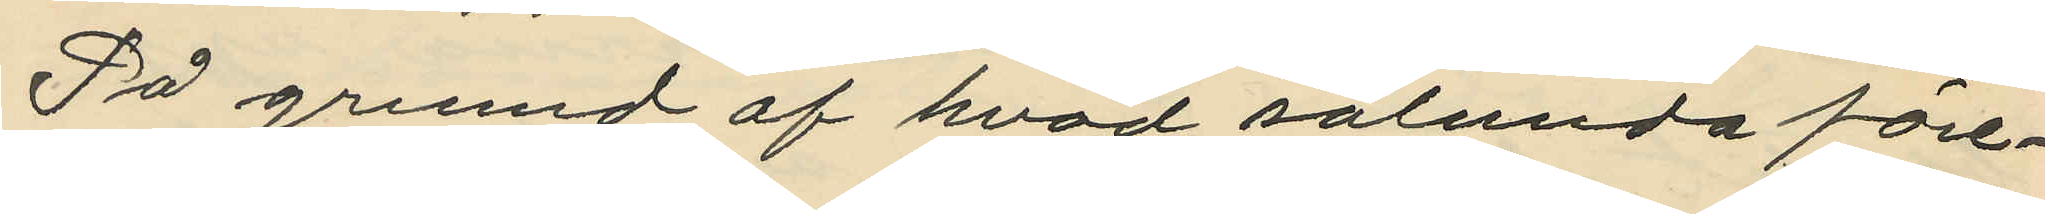På grund af hvad sålunda före¬
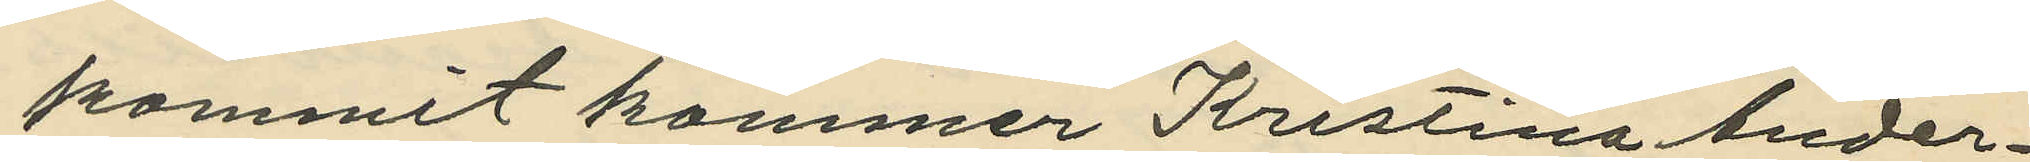kommit kommer Kristina Ander¬
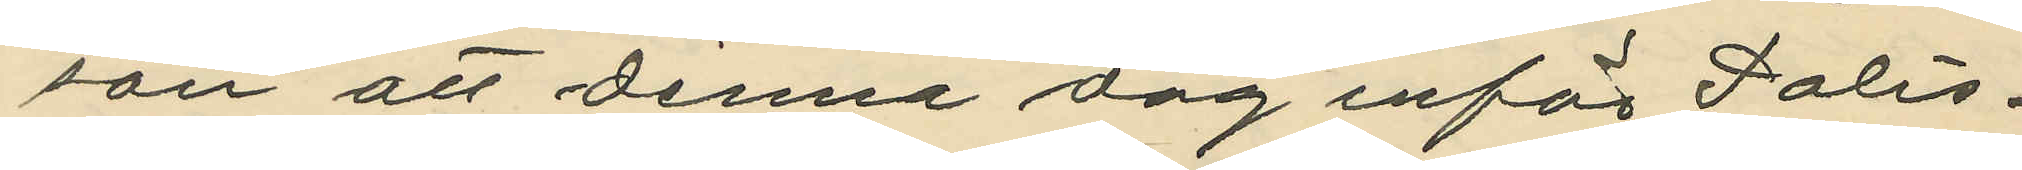son att denna dag inför Polis¬
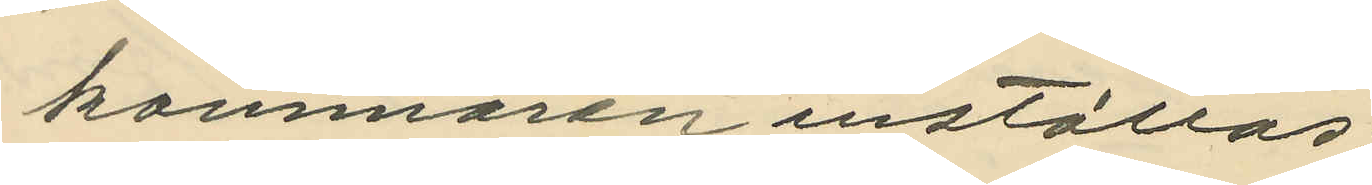kammaren inställas;
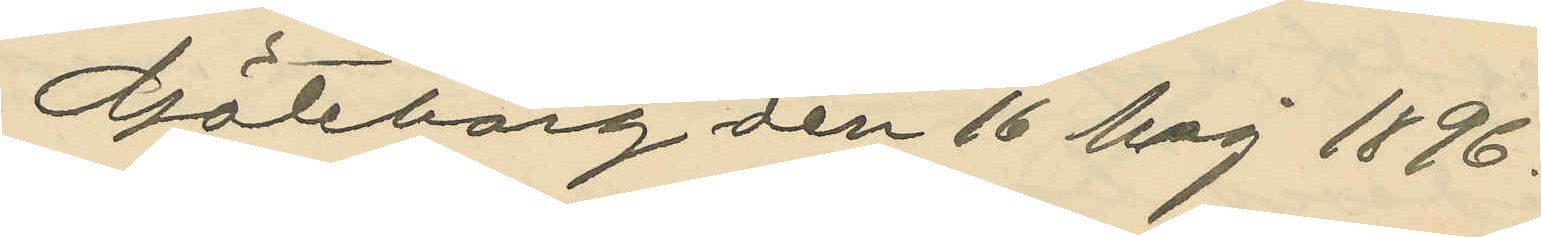Göteborg den 16 Maj 1896.
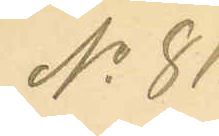No 81.
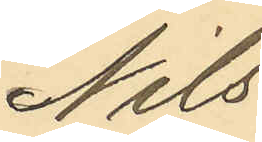Nils
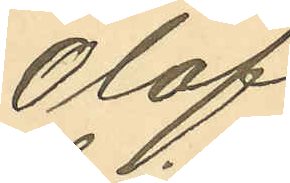Olof
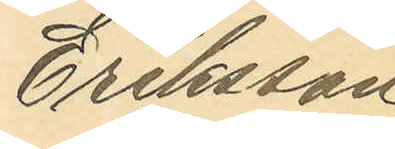Eriksson
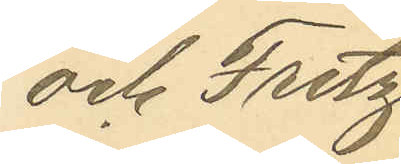och Fritz
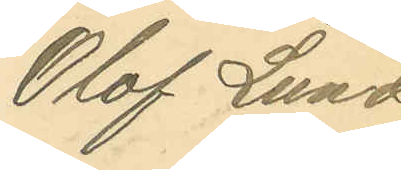Olof Lund¬
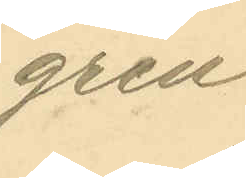gren
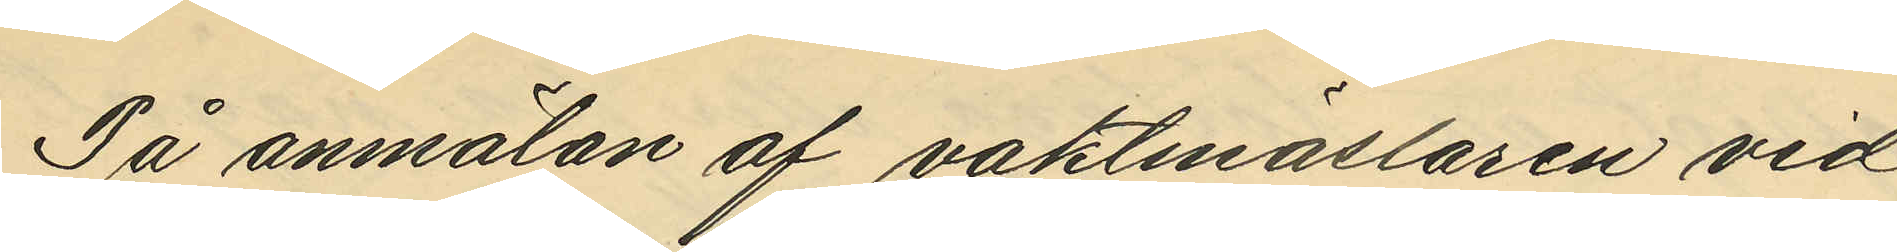På anmälan af vaktmäslaren vid
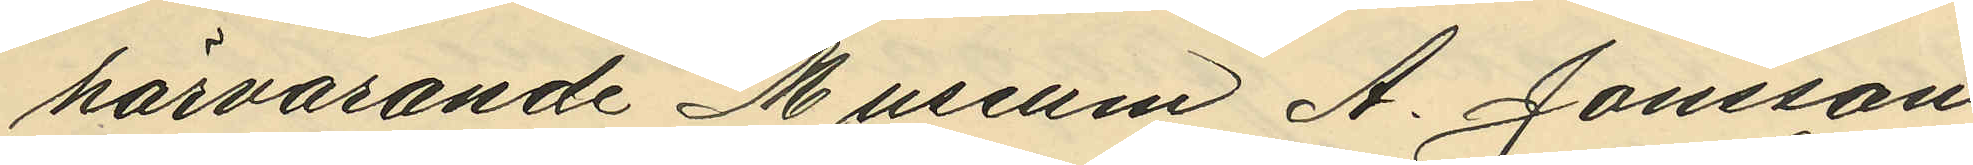härvarande Museum A. Jansson
